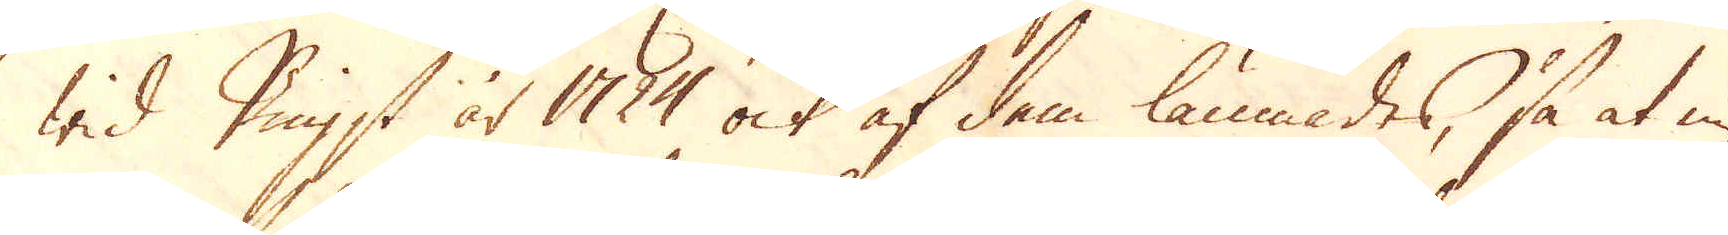wid Pigst år 1724 ock af dem lämnades, så at nu
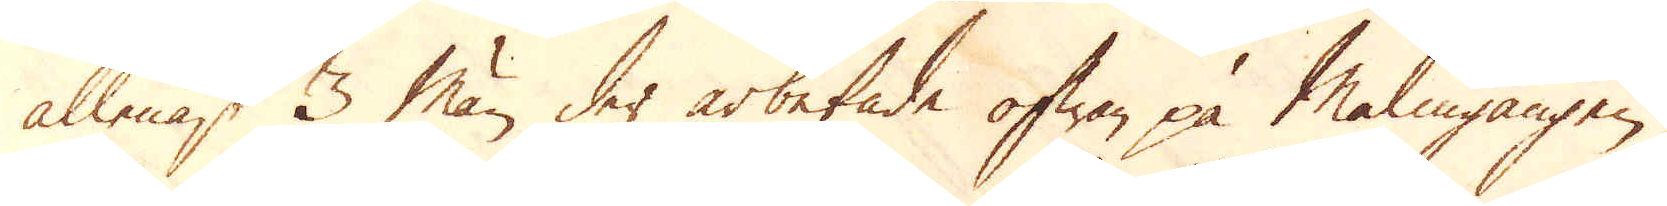allenast 3 män der arbetade ofwan på Malmgången,
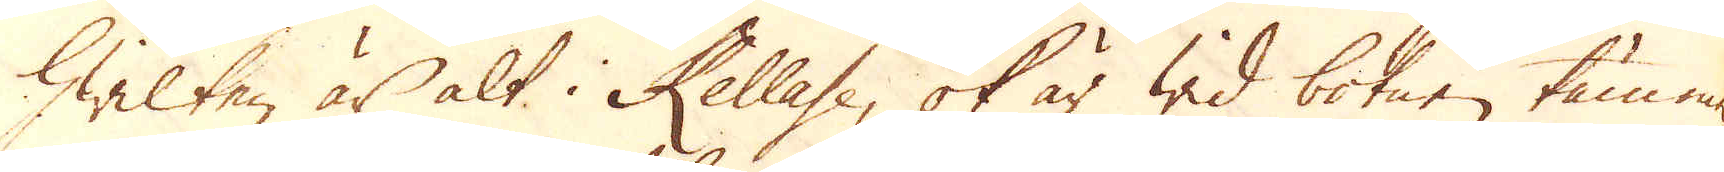hwilken är alt i Kellase, ok är wid botnen täm-
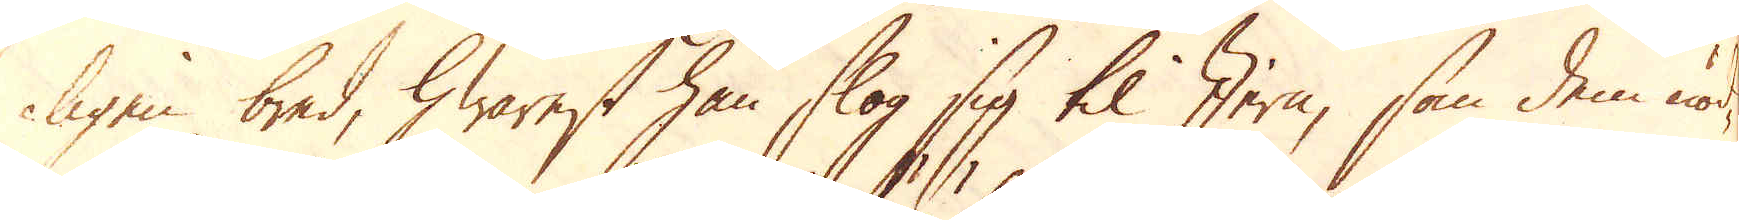ligen bred, hwarest han slog sig til Jern, som dem nöd-
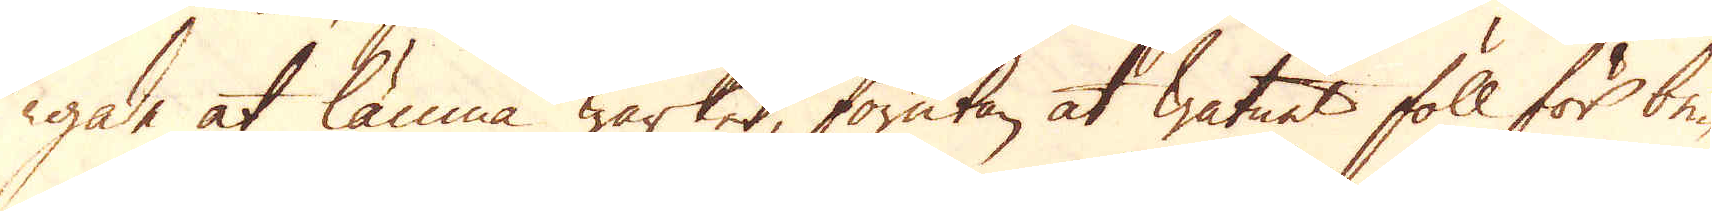gade at lämna Wärket, förutan at watnet föll för be-
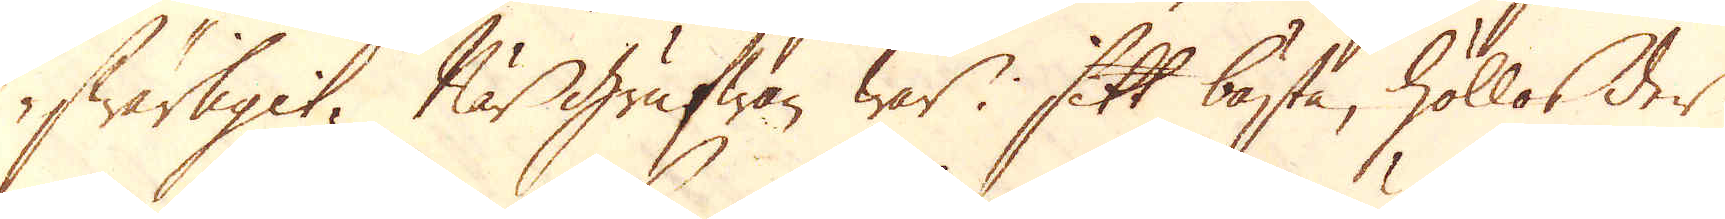swärligit. När grufwan war i sitt bästa, höllos der
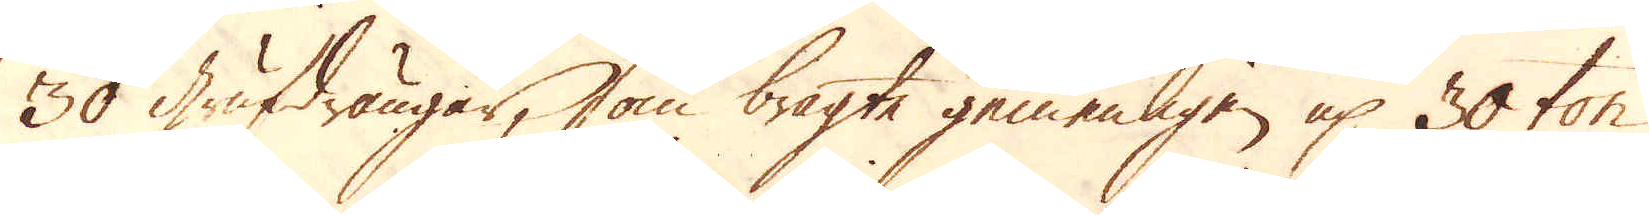30 Grufdrängar, som bragte gemenligen up 30 ton
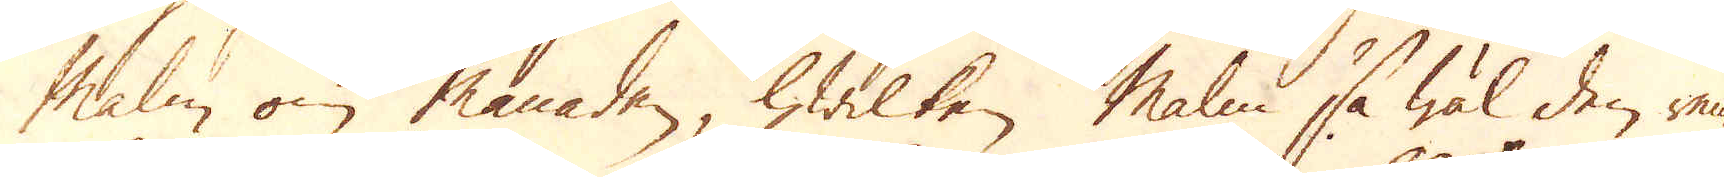Malm om månaden, hwilken malm så wäl den ren-
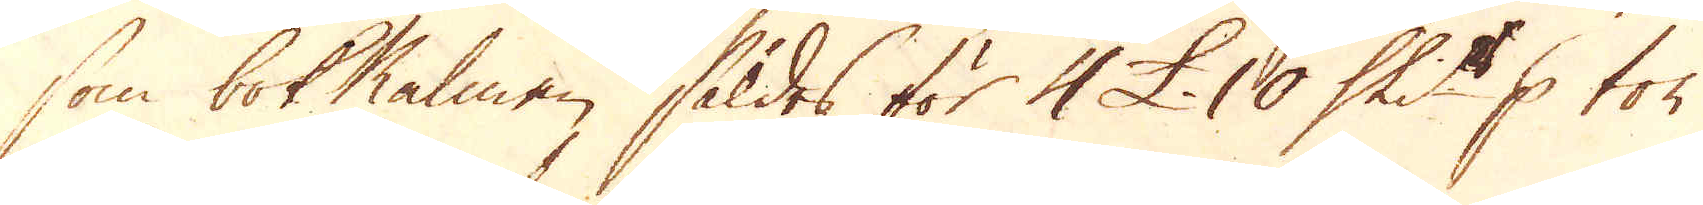som bok Malmen såldes för 4 £. 10 Skil p ton
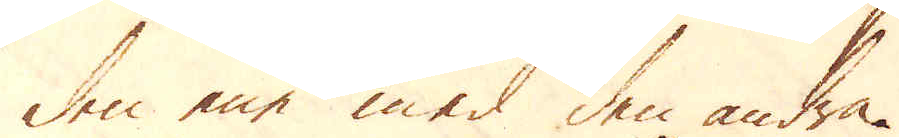den ene med den andra.
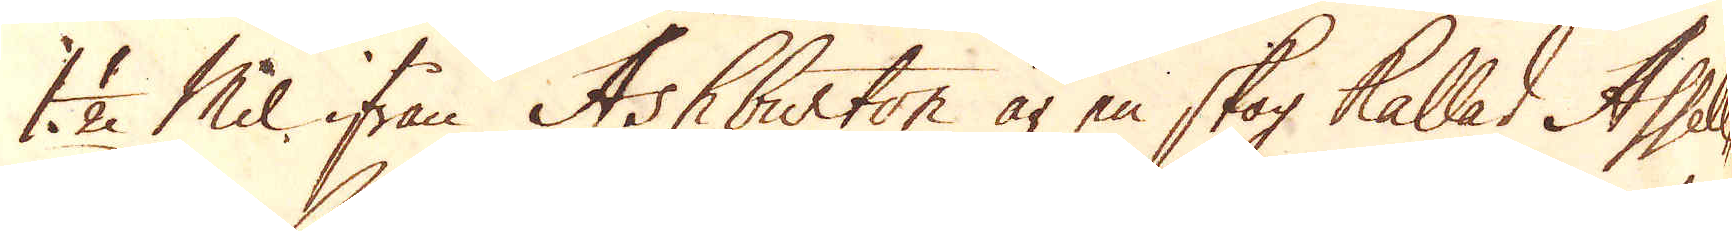1 1/2 Mil ifrån Ashburton är en skog kallad Assell-
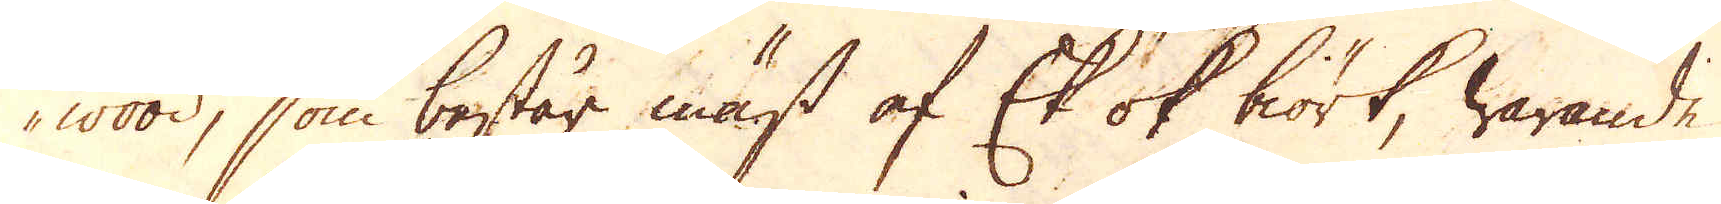wood, som består mäst af Ek ok biörk, warande
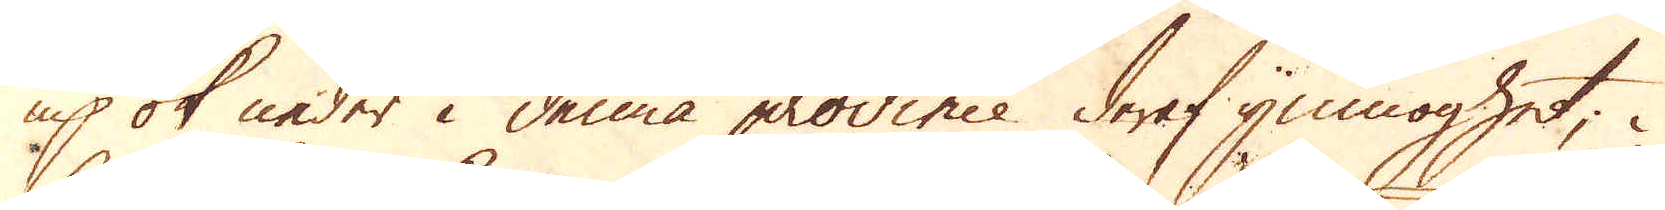up ok neder i denna province deraf ymnoghet; i
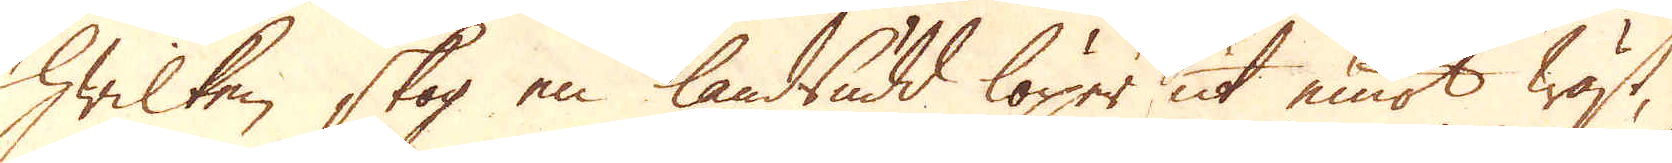hwilken skog en landsudd löper ut emot wäst,
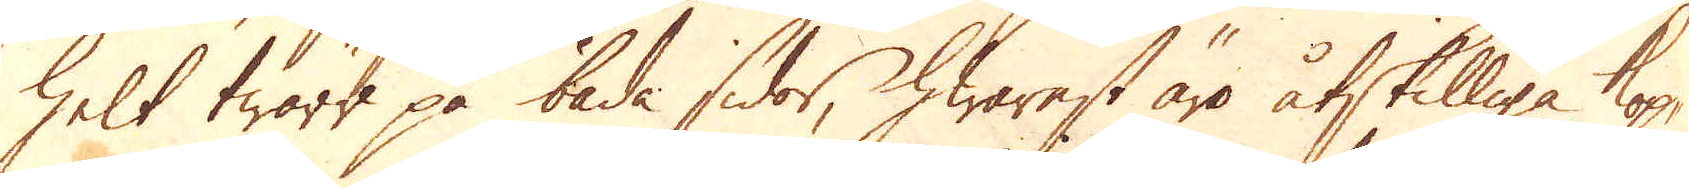helt twärt på båda sidor, hwarest äro åtskilliga kop-
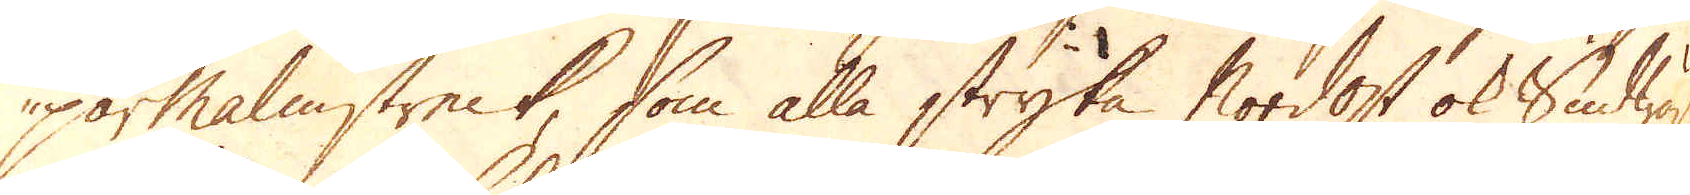parmalmstreck, som alla stryka Nordost ok Sudwäst
